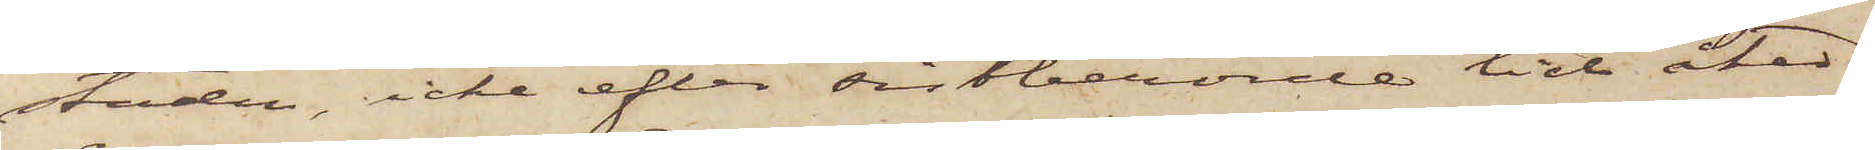staden, icke efter sistberörde tid åter¬
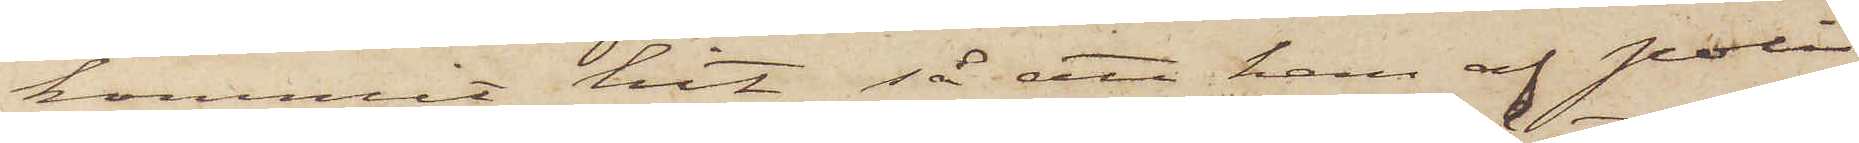kommit hit, så att han af Polis¬
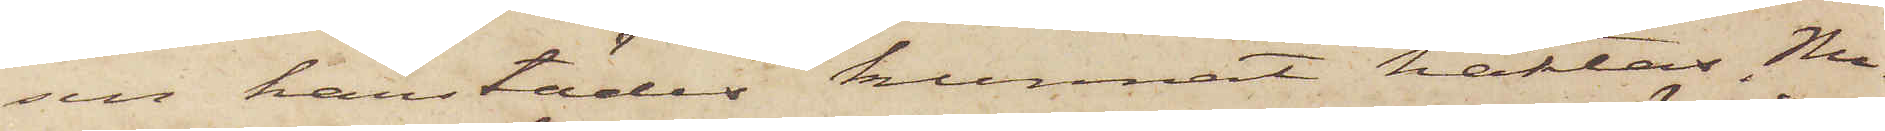en härstädes kunnat häktas. Nu¬
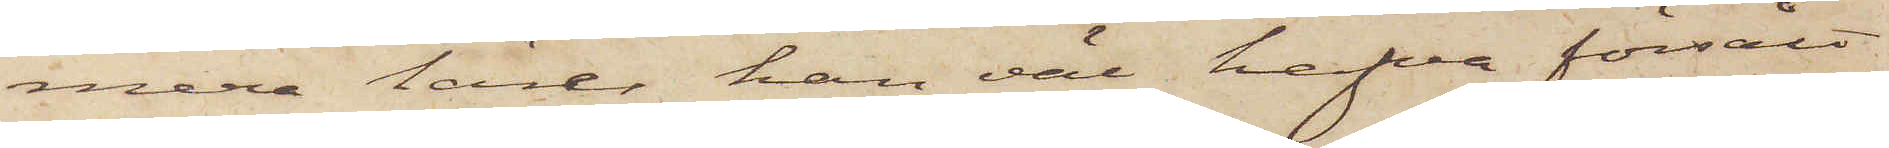mera lärer han väl hafva försålt
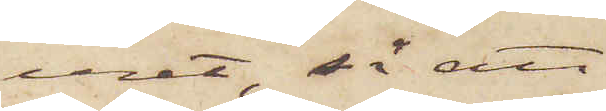uret, så att
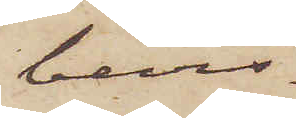bevis¬
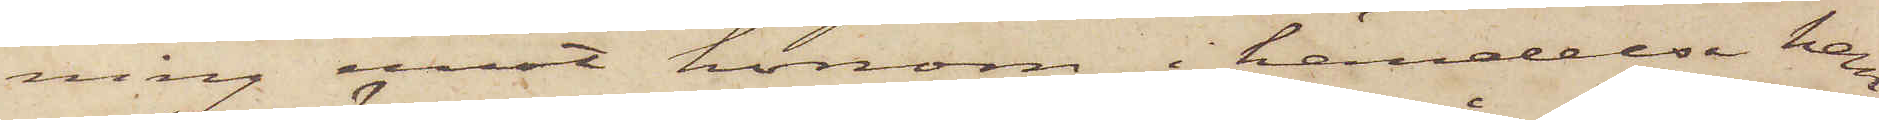ning emot honom, i händelse han
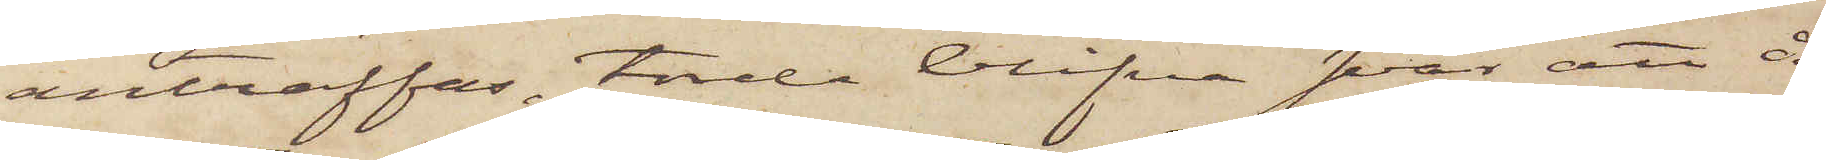anträffas, torde blifva svår att å¬
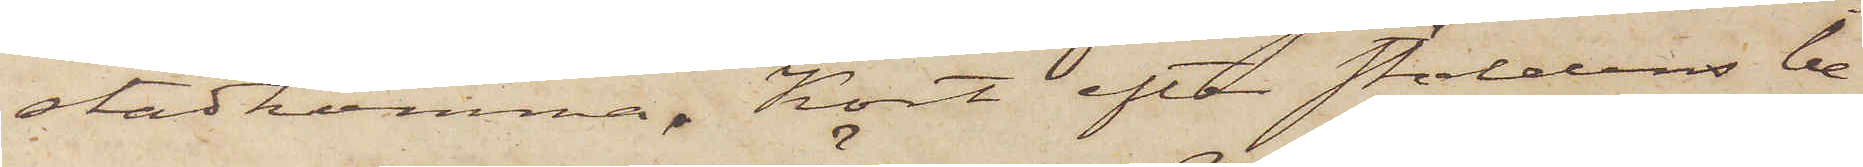stadkomma. Kort efter stöldens be¬
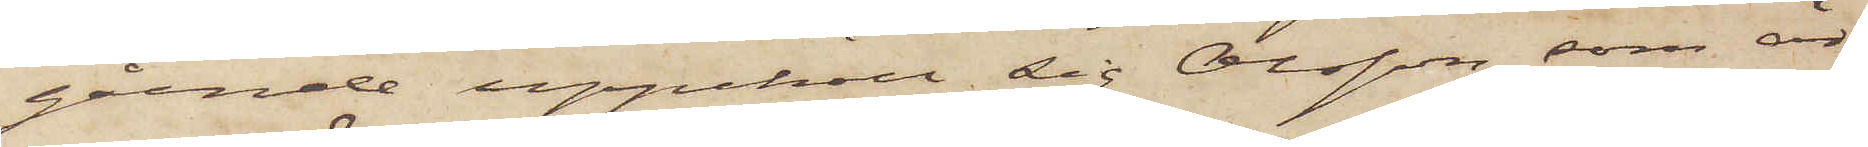gående uppehöll sig Olsson, som är
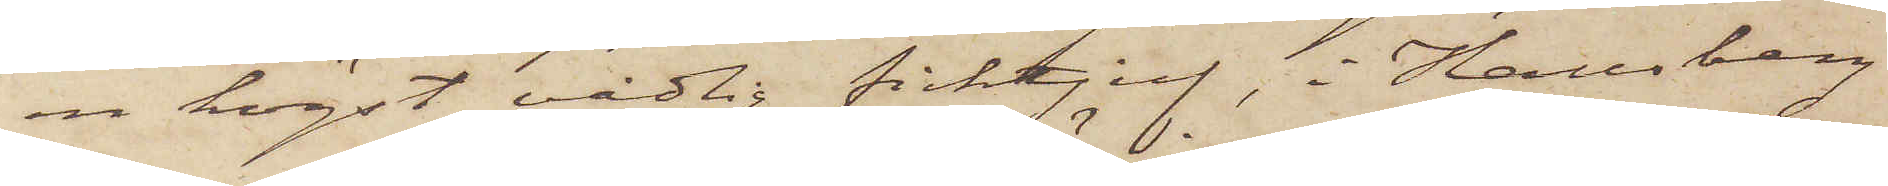en högst vådlig ficktjuf, i Hallsberg
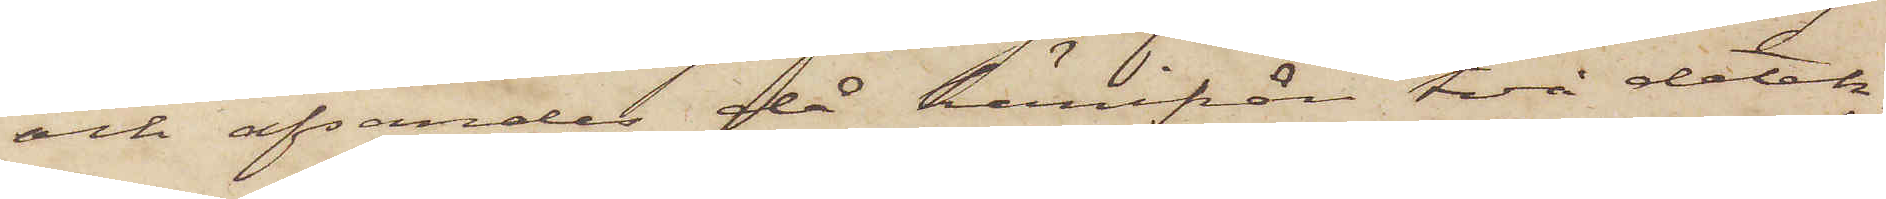och afsändes då härifrån två detek¬
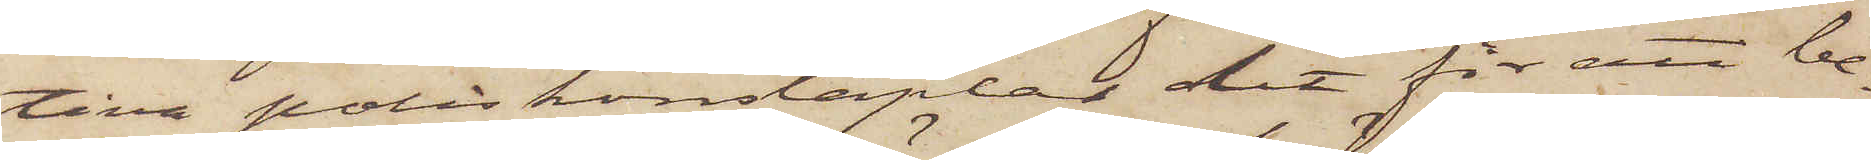tiva poliskonstaplar dit för att be¬
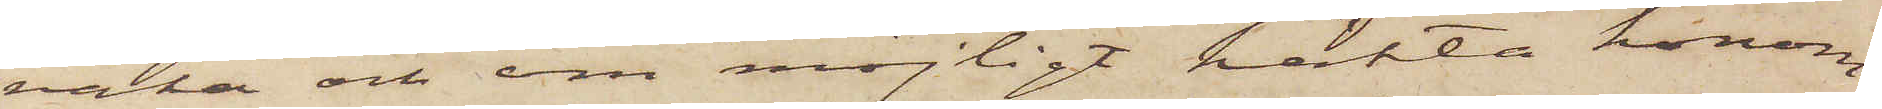vaka och om möjligt häkta honom.
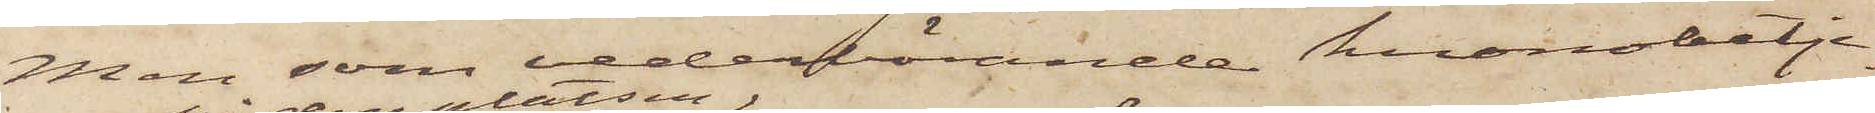Men, som vederbörande kronobetje¬
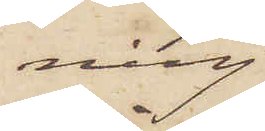ning
